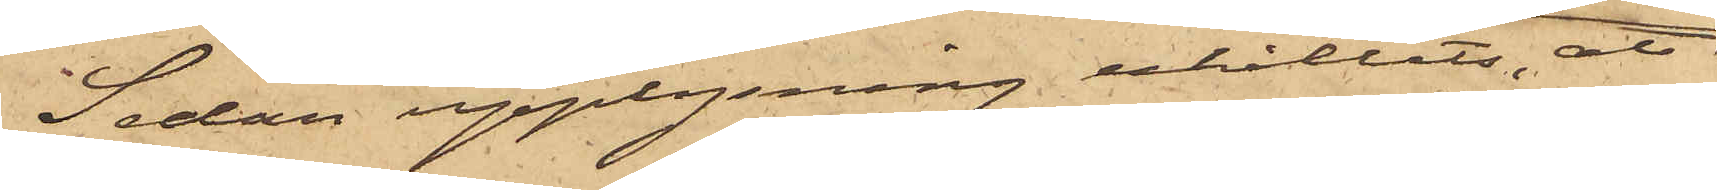Sedan upplysning erhållits, att
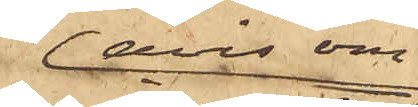avin om
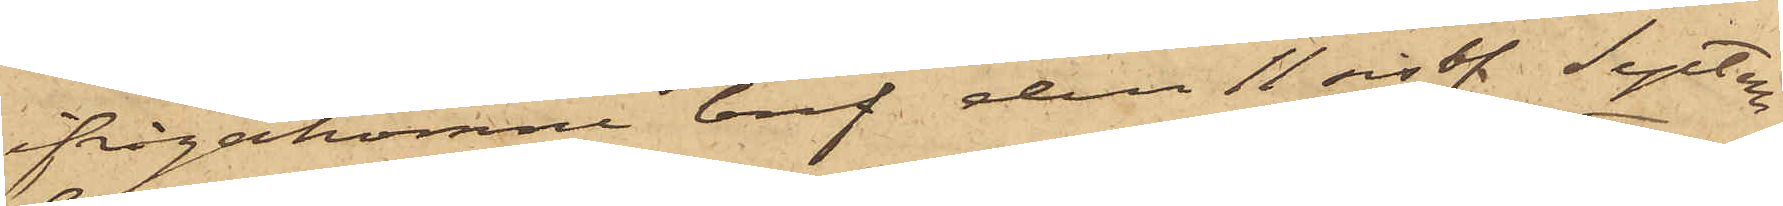ifrågakomne bref den 11 sist. Septem¬
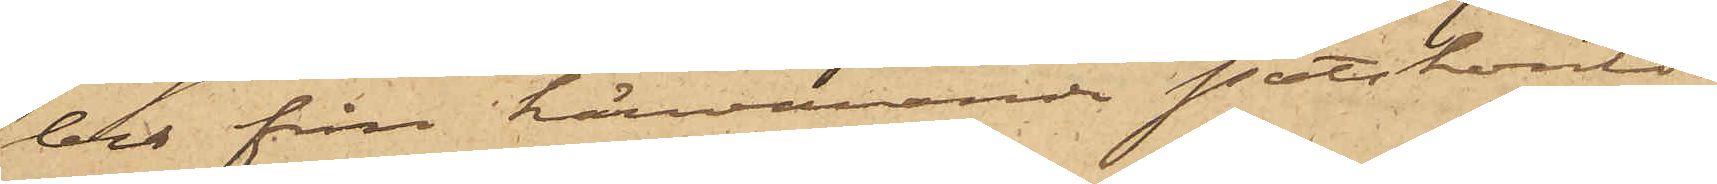ber från härvarande Postkontor
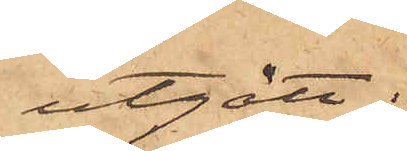utgått;
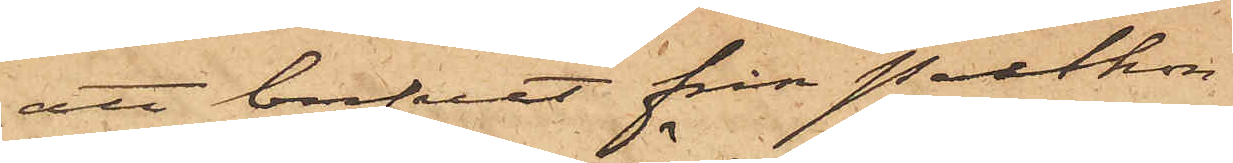att brefvet från Postkon¬
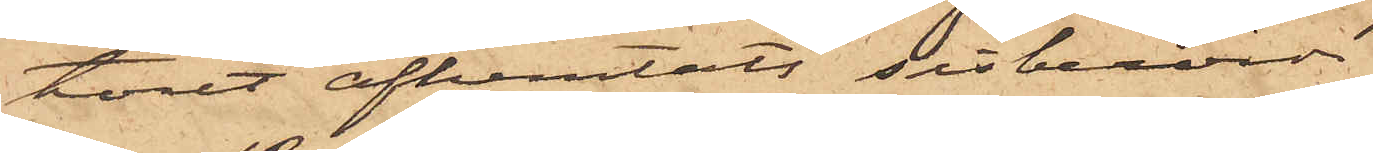toret afhemtats sistberörde
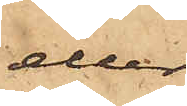eller
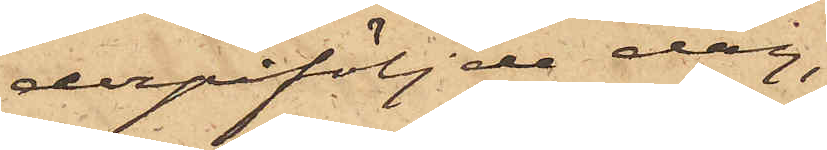derpåföljde dag;
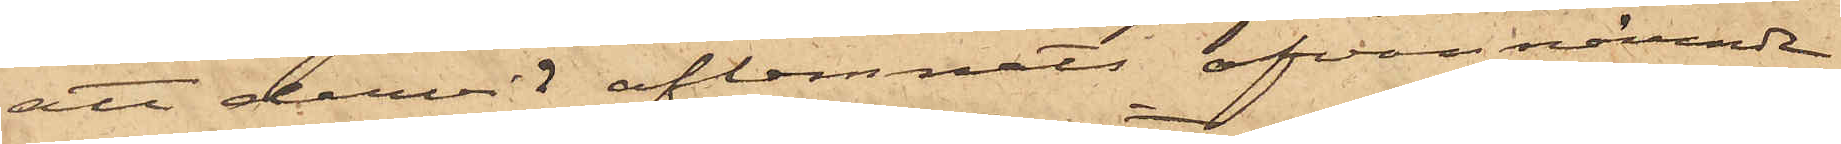att dervid aflemnats ofvannämnde
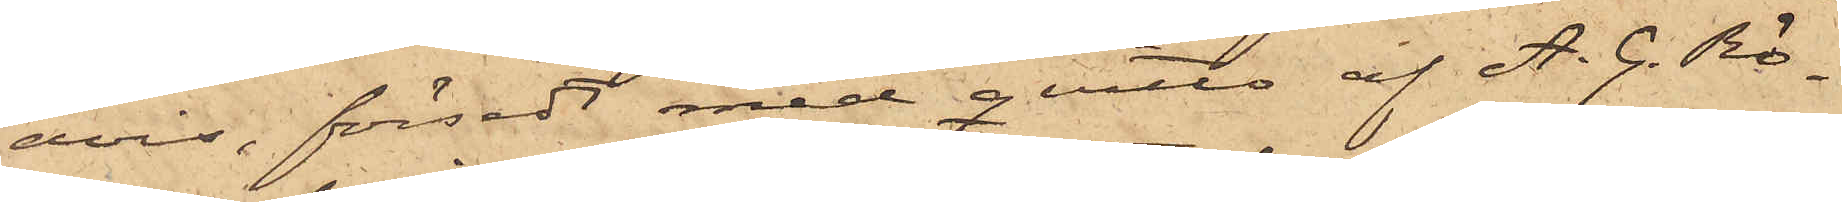avis, försedd med qvitto af A. G. Rö¬
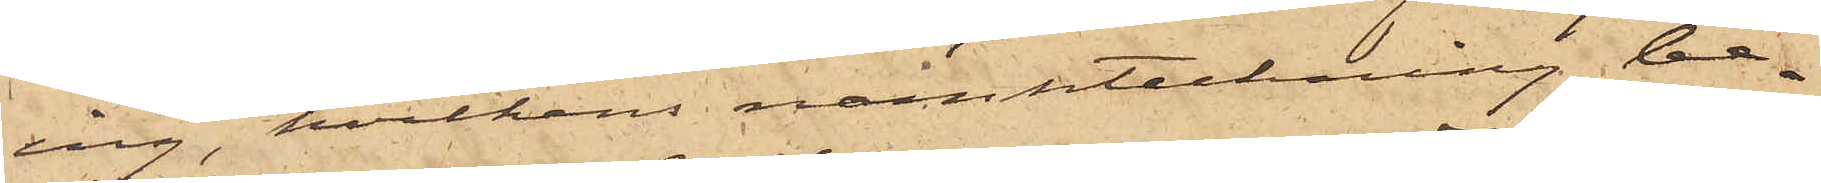ing, hvilkens namnteckning be¬
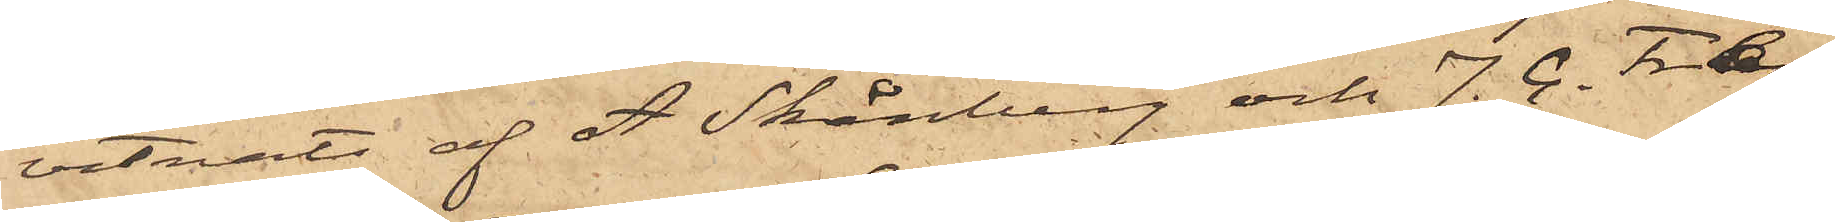vittnats af A. Skånberg och J. C. Fræn¬
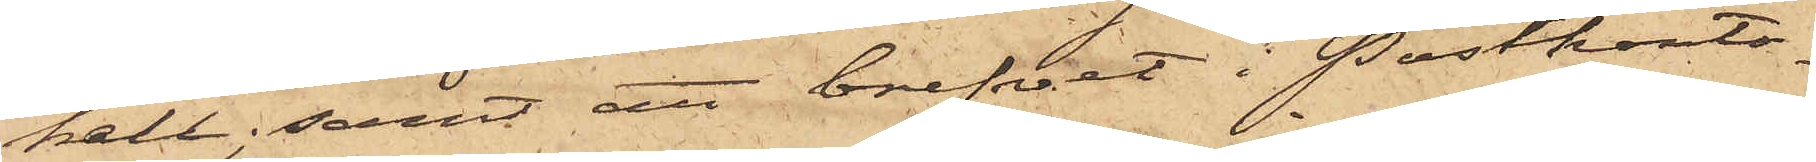kel; samt att brefvet i Postkonto¬
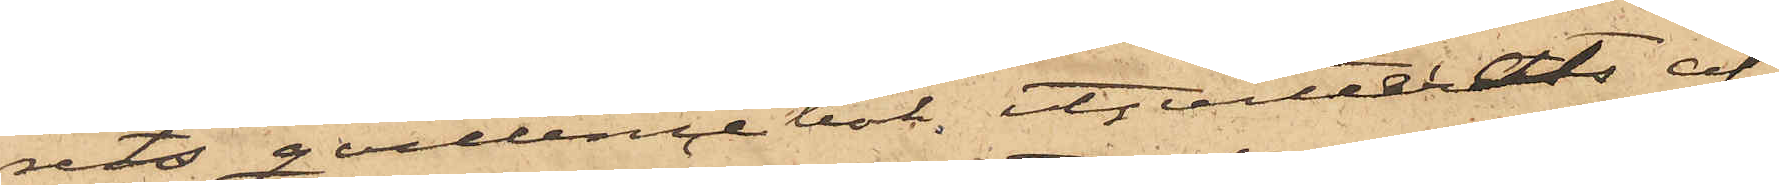rets qvittencebok, utqvitterats af
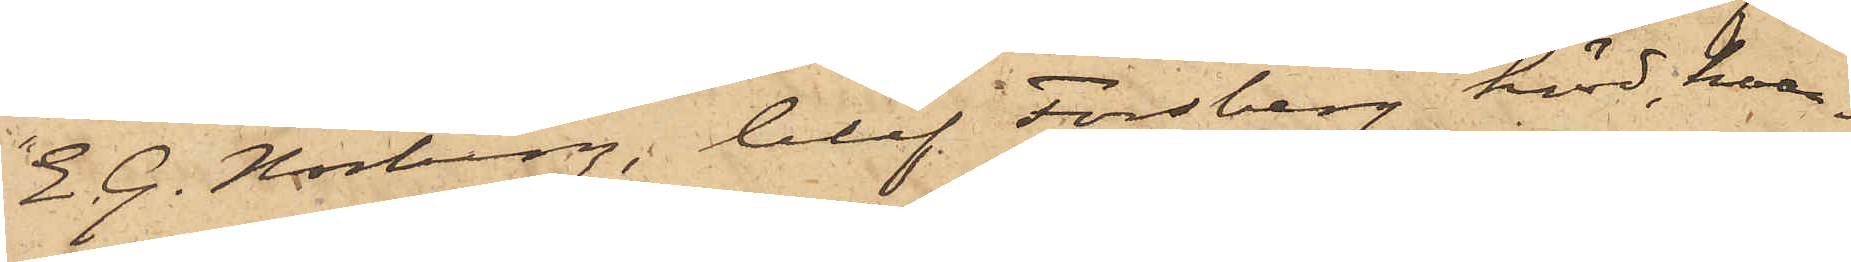E. G. Norberg, blef Forsberg hörd, hvar¬
